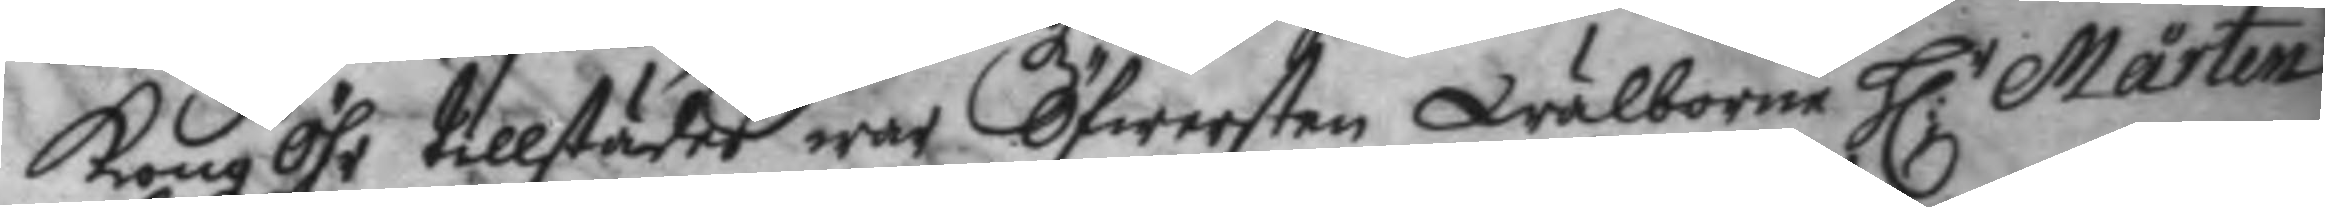KongzÖhr tillstädes war Öfwersten Wälborne H:r Mårten
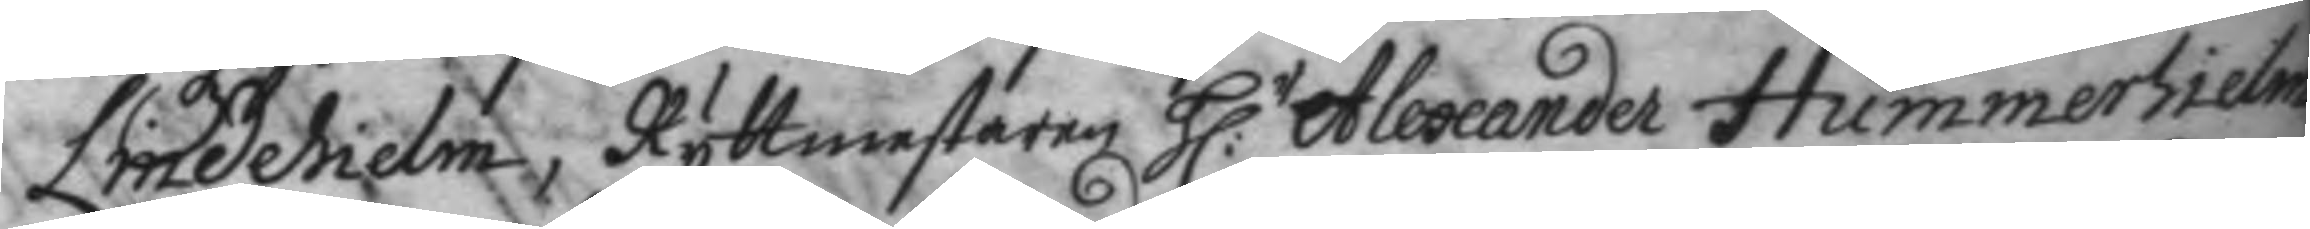Lindehielm, Ryttmestaren H:r Alexander Hummerhielm
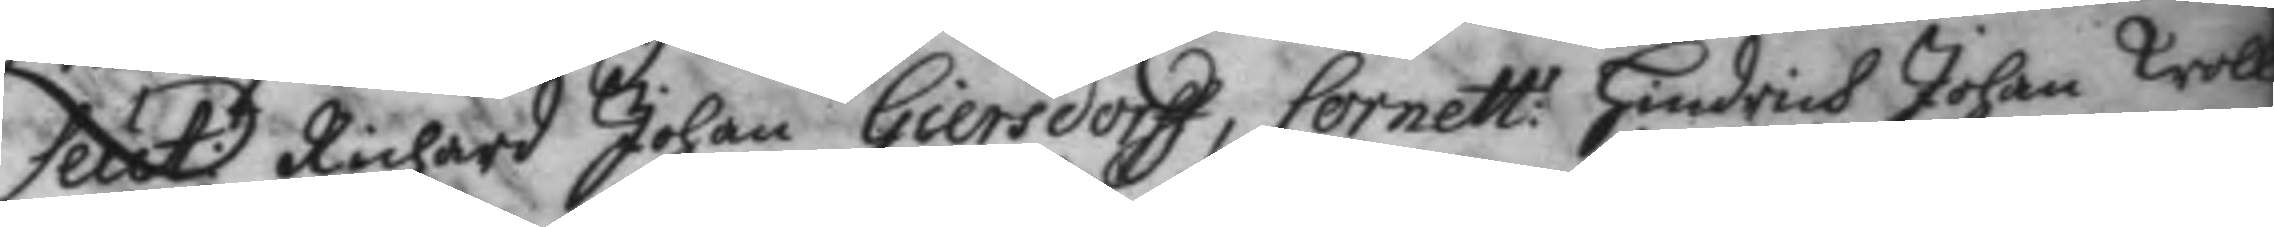Leut:t Richard Johan Giersdorff, Cornett:r Hindrich Johan Troll¬
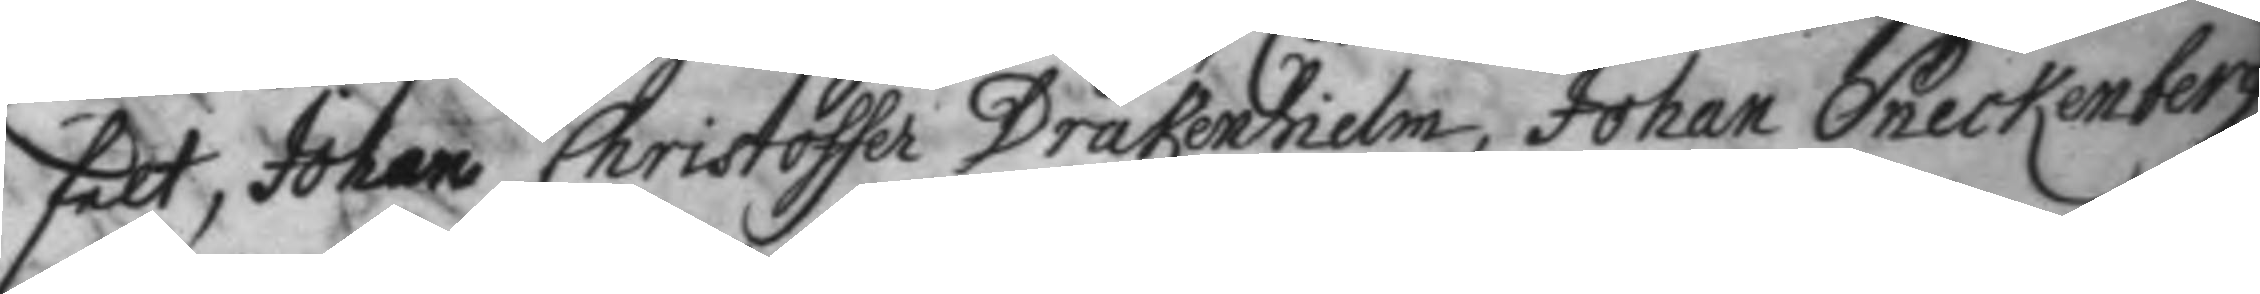felt, Johan Christoffer Drakenhielm, Johan Sneckenberg,
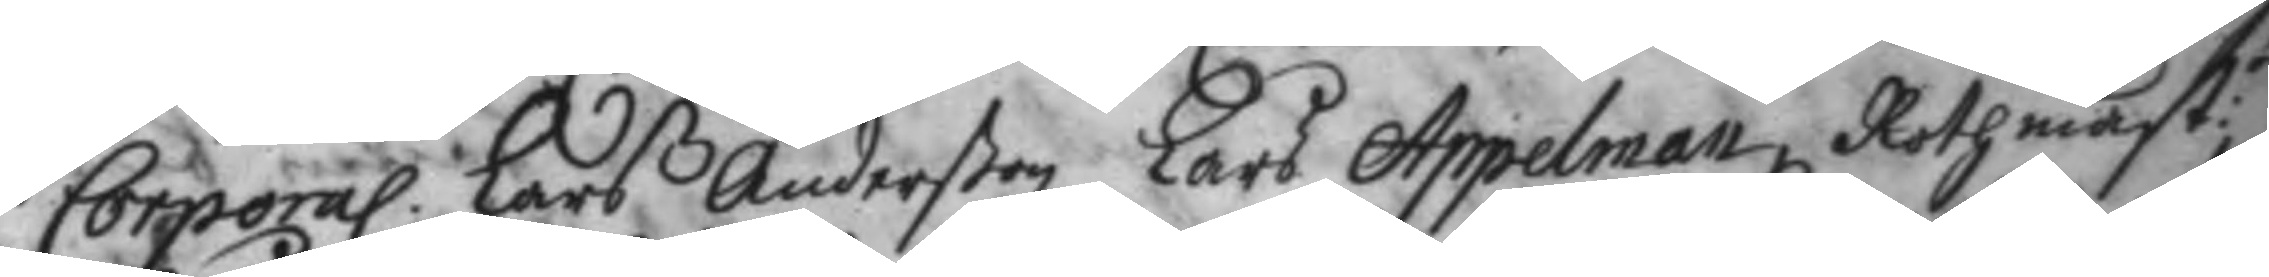Corporal Lars Anderßon, Lars Appelman, Rothmest:r
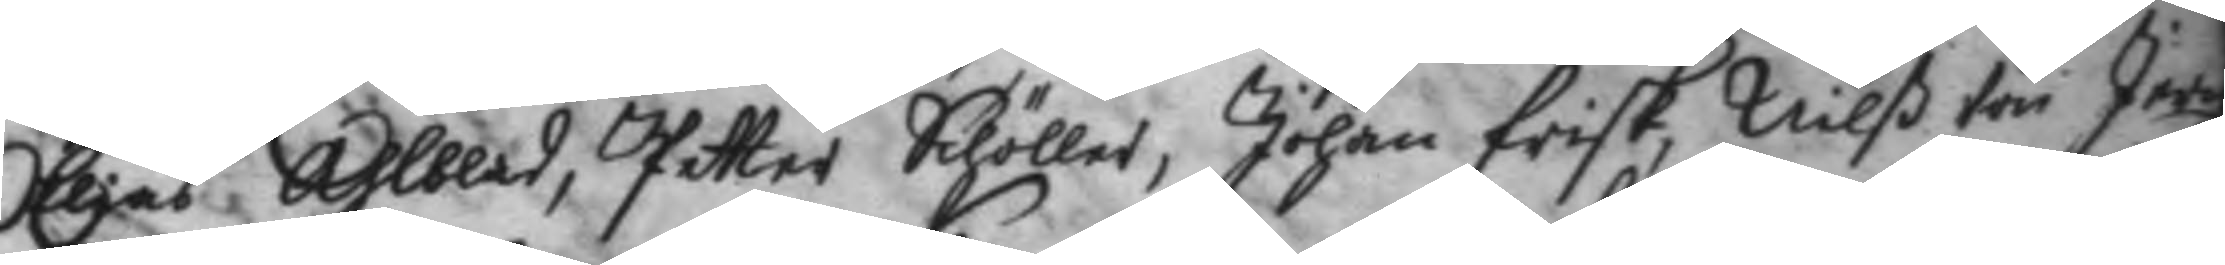Elias Ahlblad, Petter Schöller, Johan Frisk, Nilß von Jer
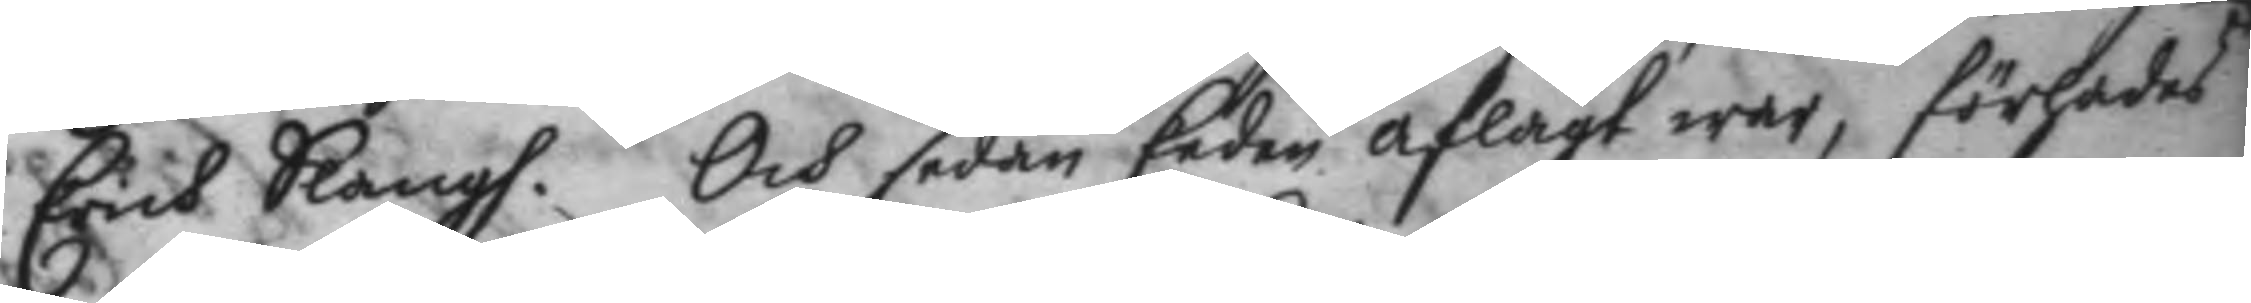Erich Slangh. Och sedan Eeden aflagt war, förhades
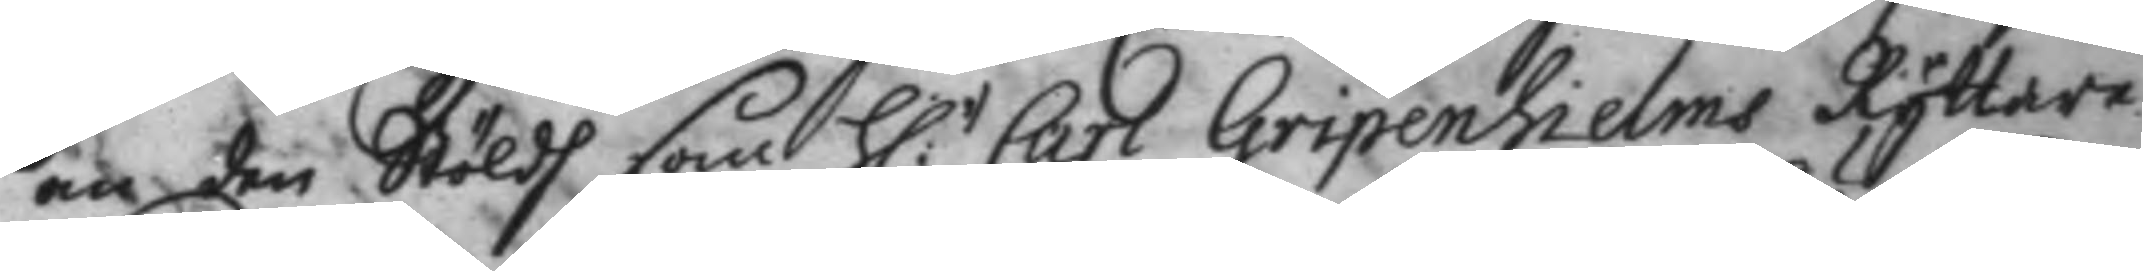nu den Stöldh som H:r Carl Gripenhielms Ryttare
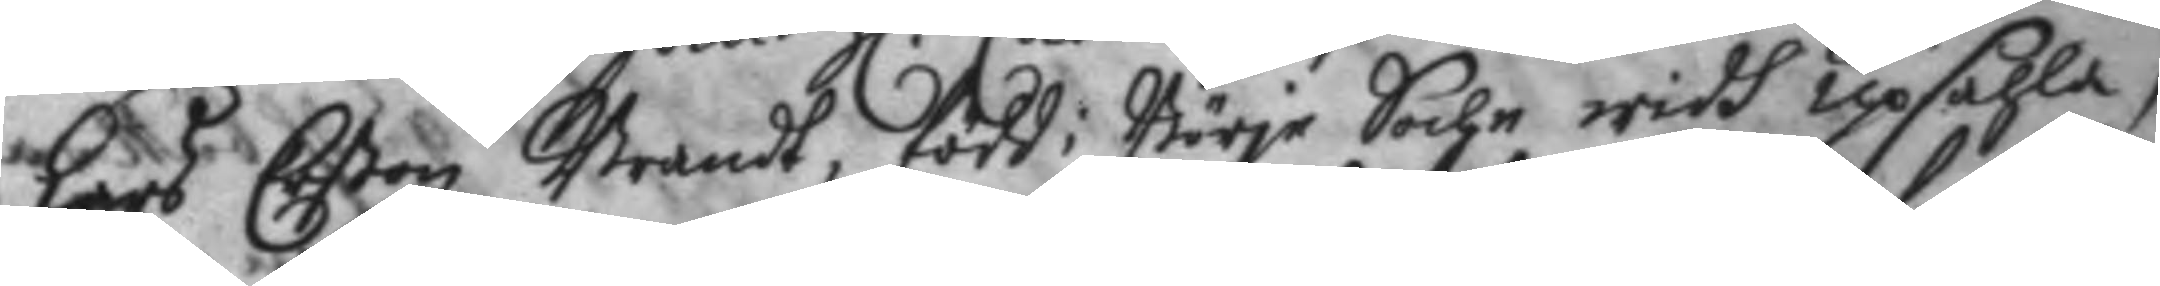Lars Erßon Brandt, född i Börje Sochn widh upsahla,
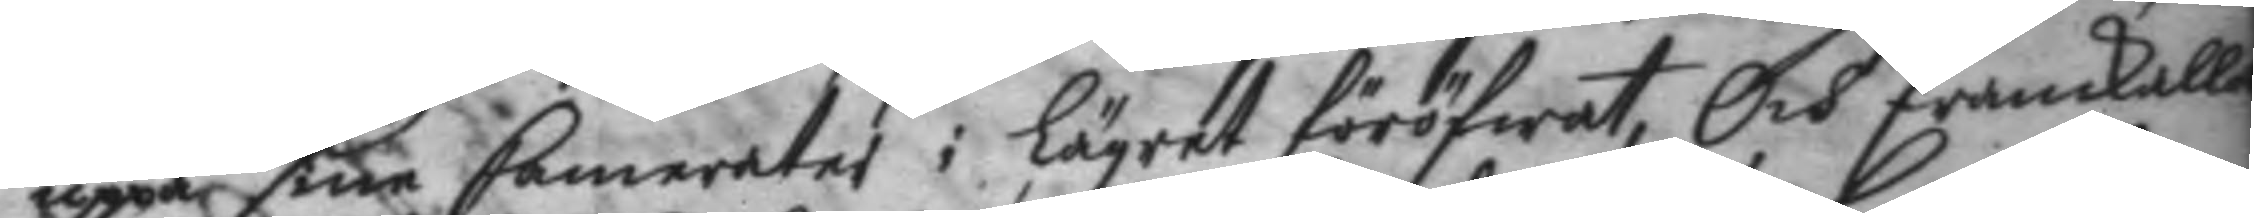uppå sina Camerater i Lägret föröfwat, och framkalla¬
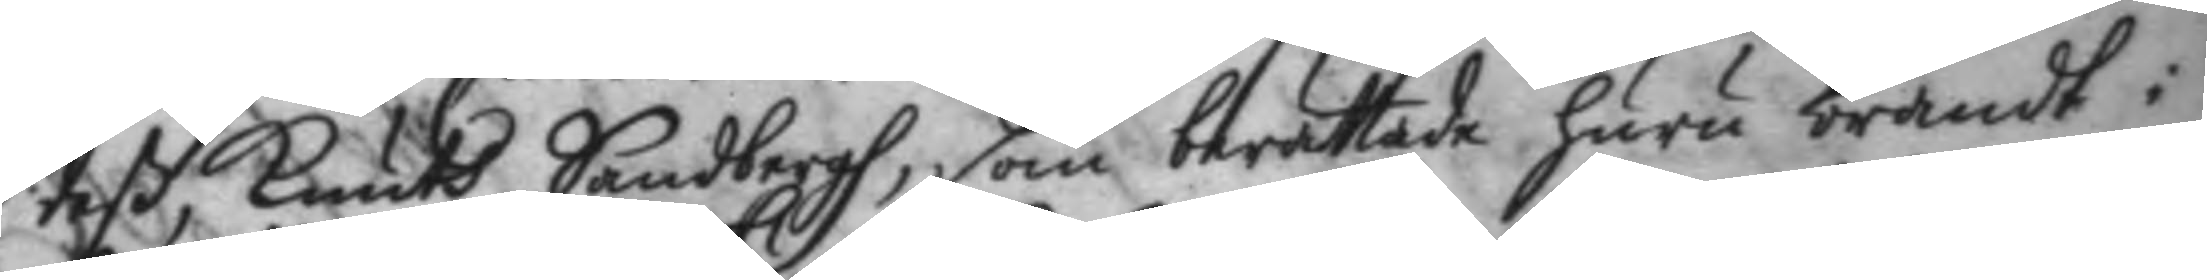deß, Knuth Sandbergh, som berättade huru brandt i
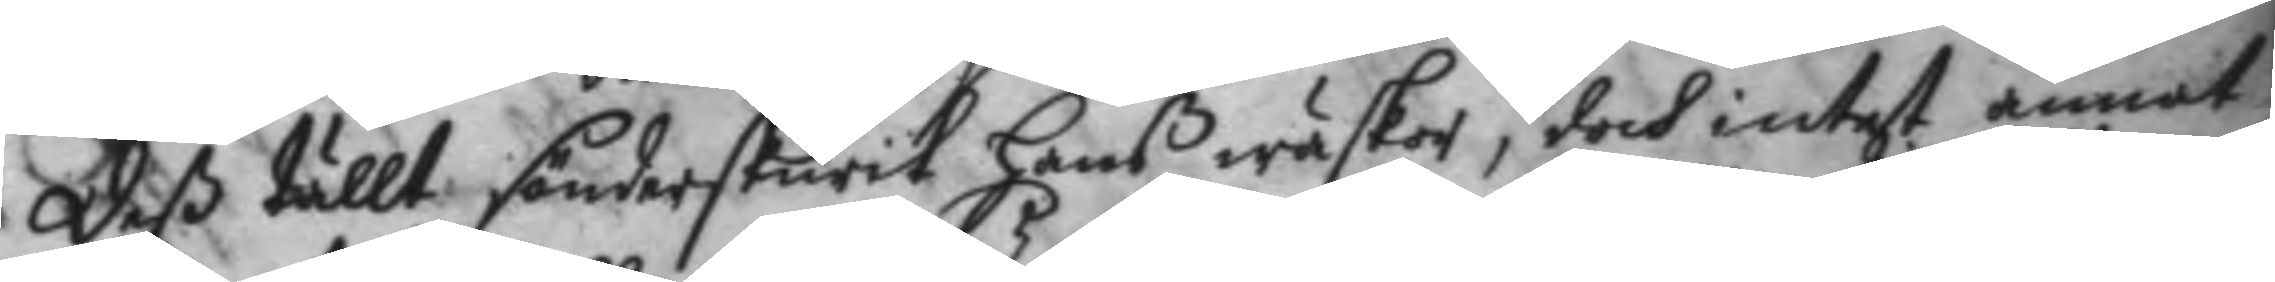deß tällt sönderskurit hanß wäskor, doch intet annat
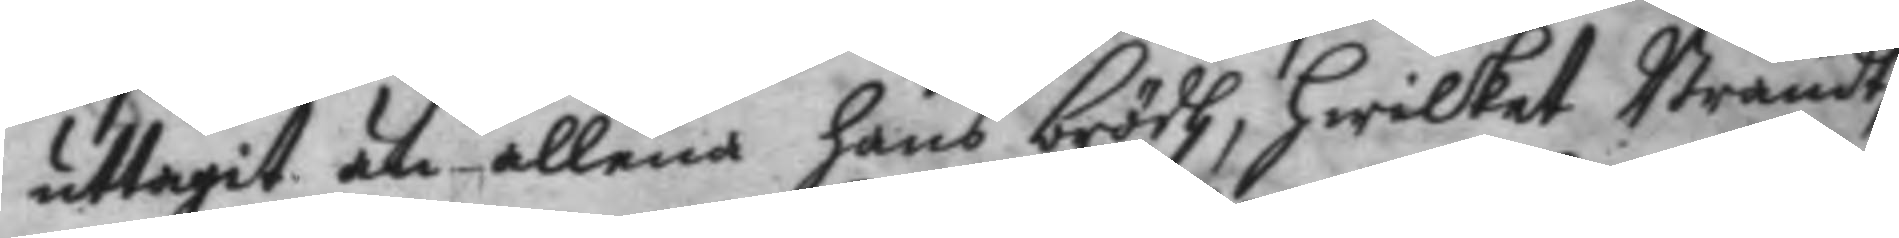uttagit än allena hans brödh, hwilket Brandt
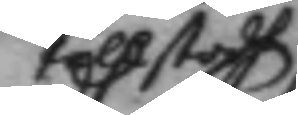tillstodh
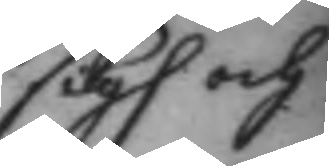sigh och
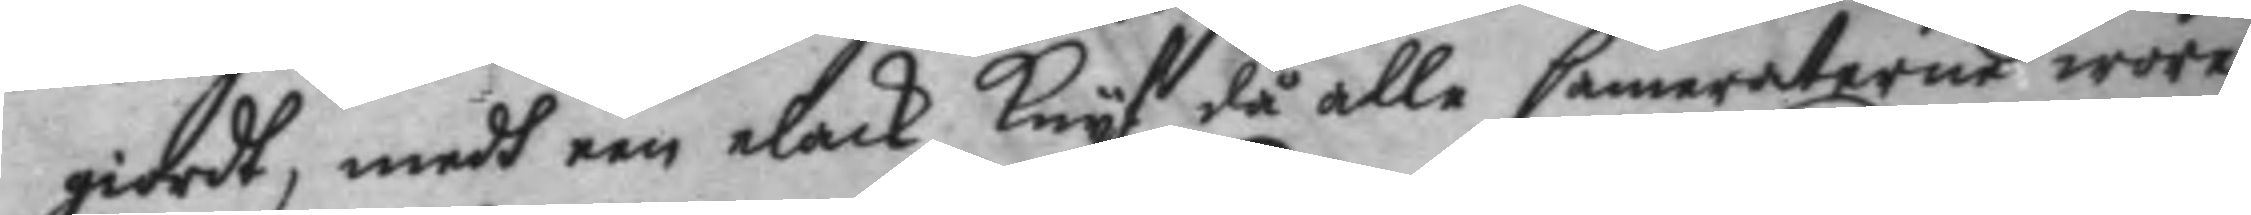giordt, medh een elack Knyf då alle Cameraterne wore
